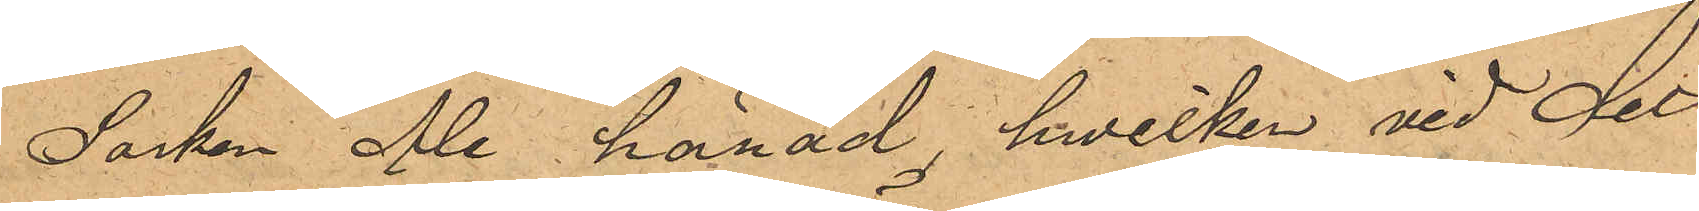Socken Ale härad, hwilken vid det
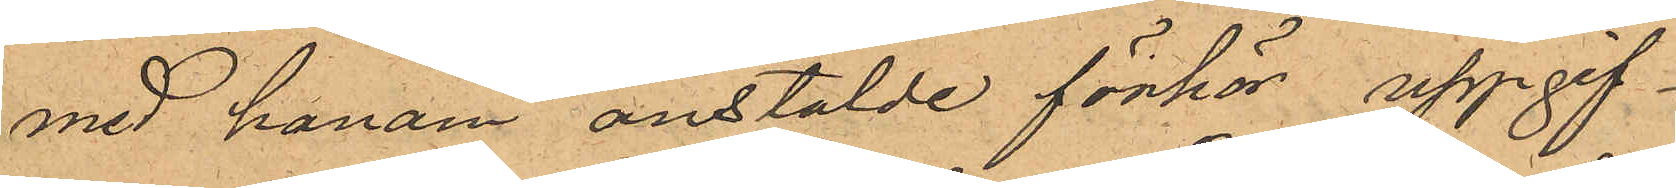med honom anstälde förhör, uppgif¬
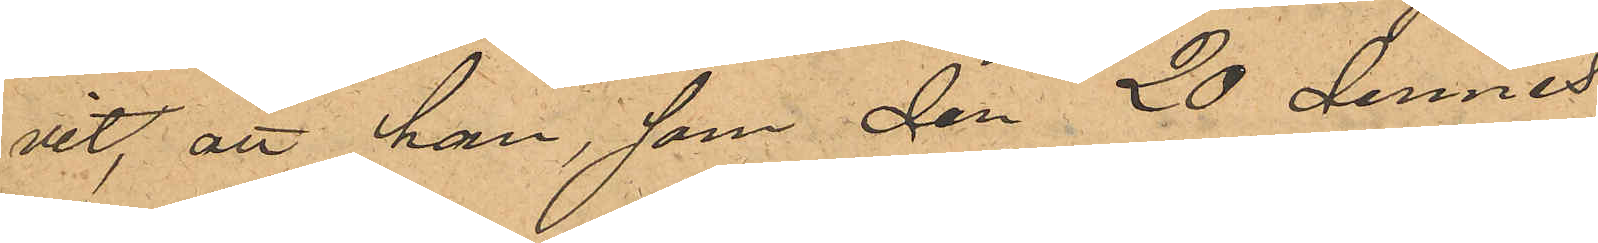vit, att han, som den 20 dennes
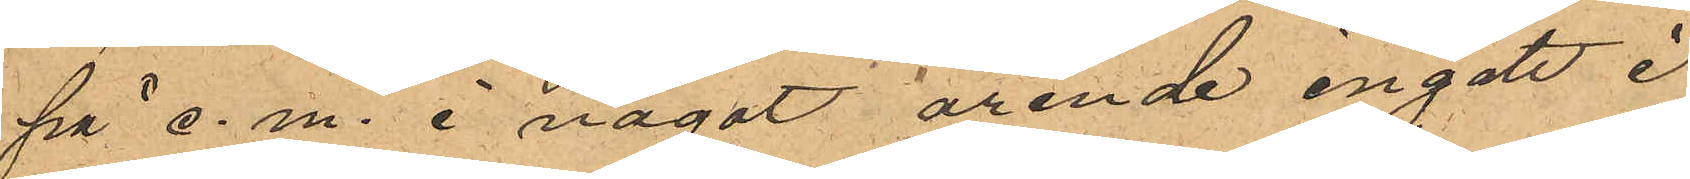på e. m. i något ärende ingått i
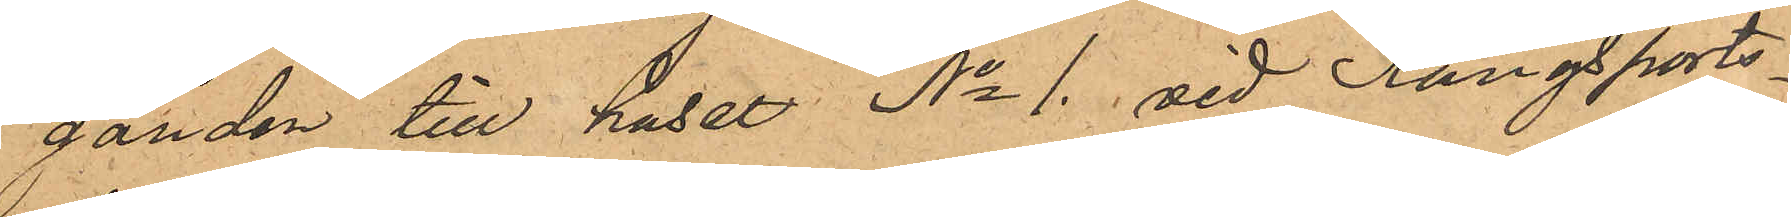gården till huset No 1. vid Kungsports¬
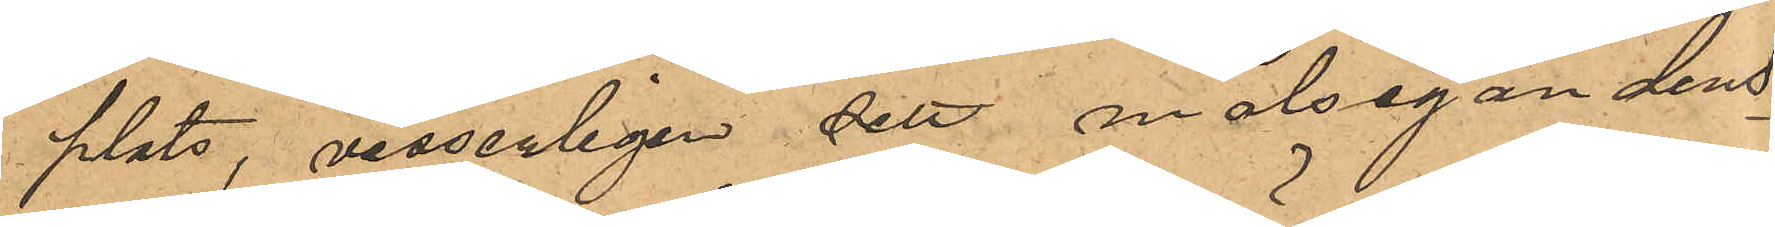plats, visserligen sett målsegandens
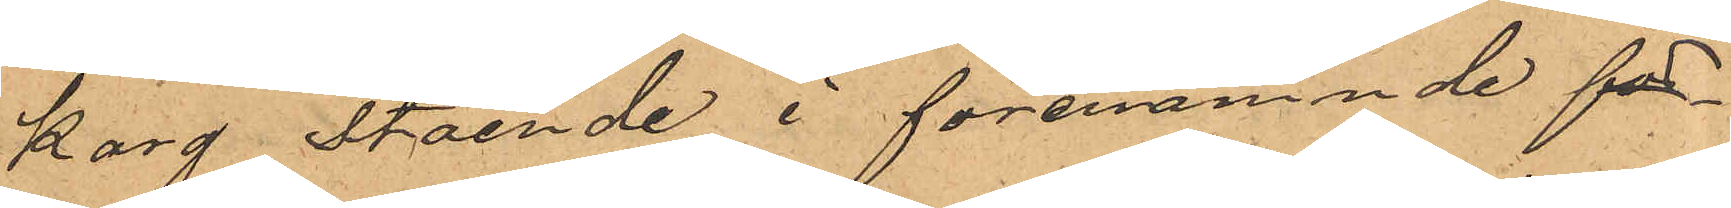korg stående i förenämnde för¬
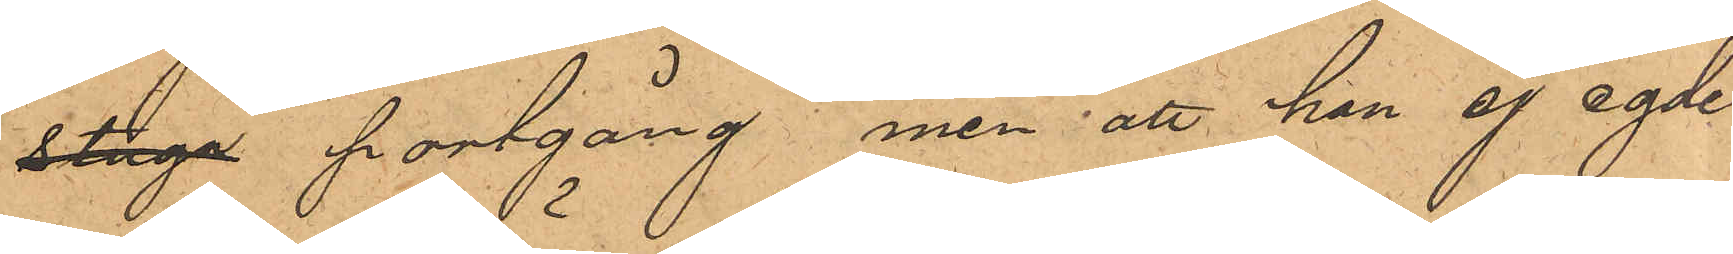stuga portgång, men att han ej egde
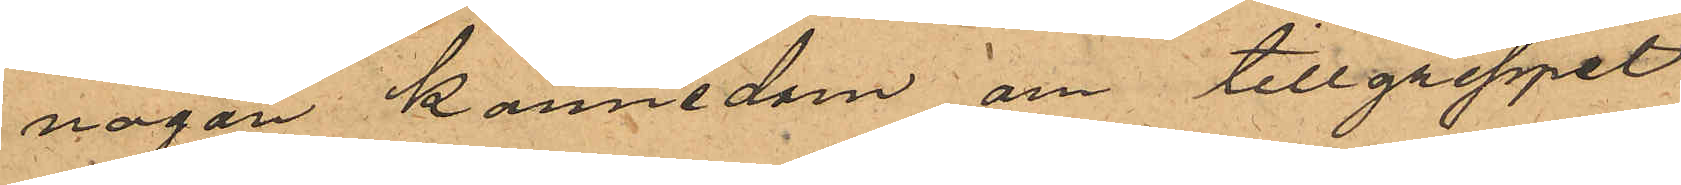någon kännedom om tillgreppet
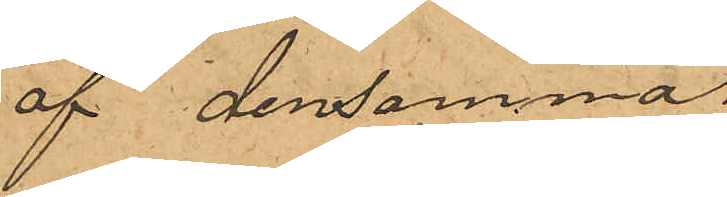af densamma.
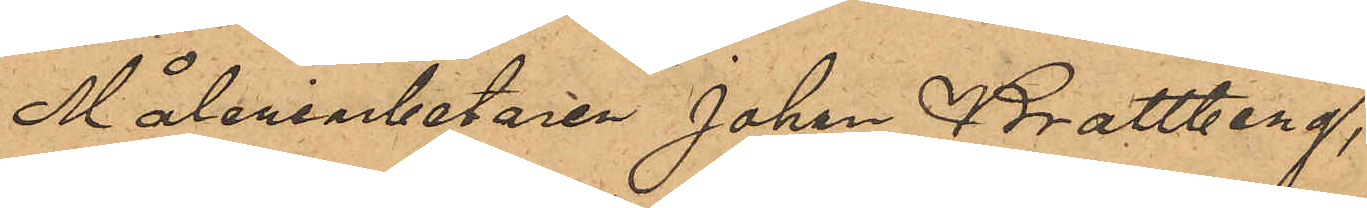Måleriabetaren Johan Brattberg,
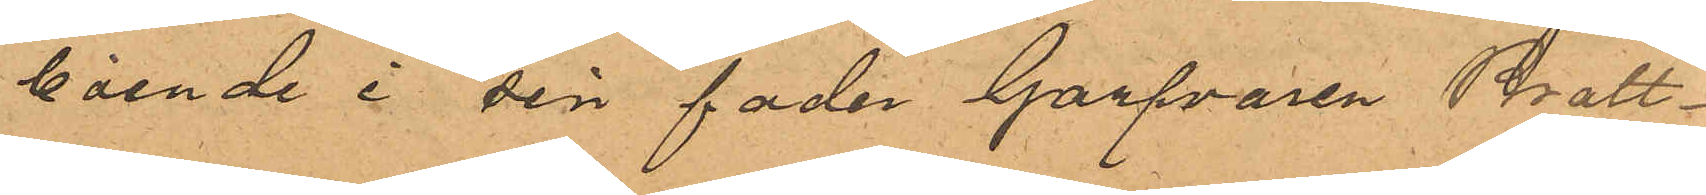boende i sin fader Garfvaren Bratt¬
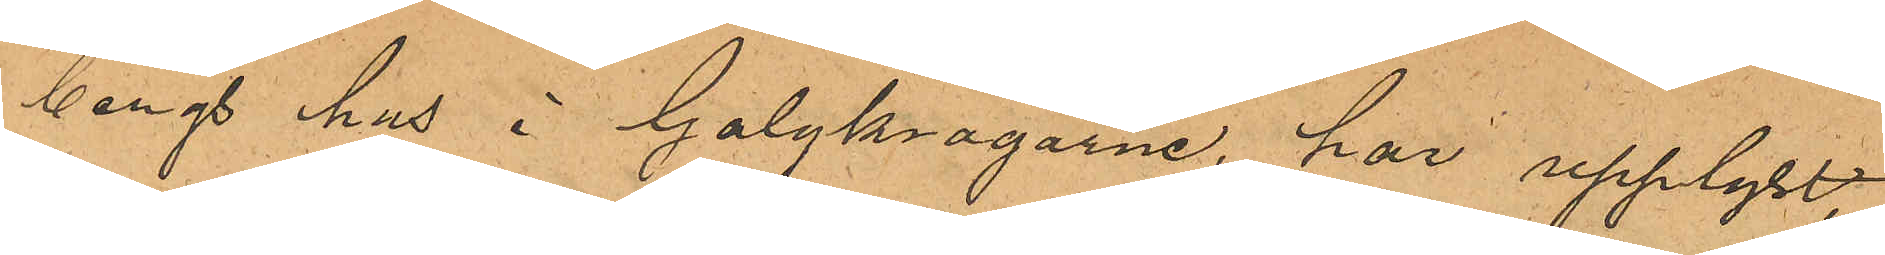bergs hus i Galgkrogarne, har upplyst,
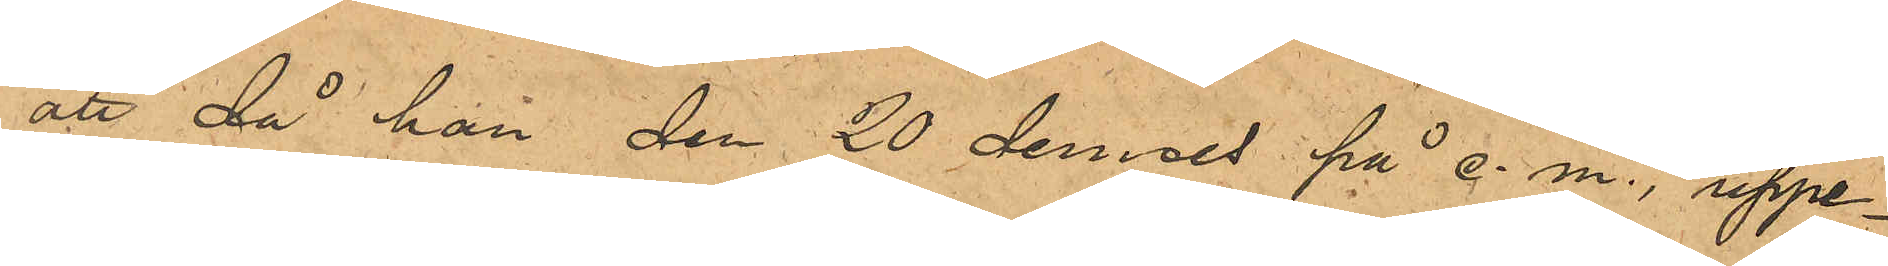att då han den 20 dennes på e.m., uppe¬
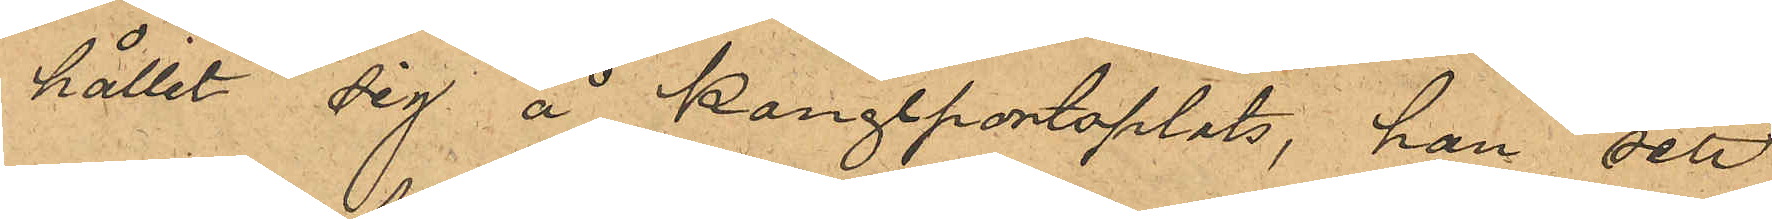hållit sig å Kongeportsplats, han sett
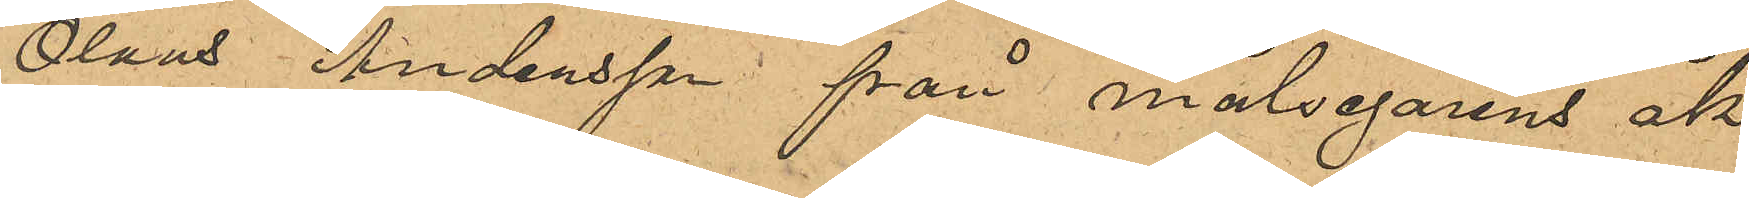Olaus Andersson från målsegarens åk¬
